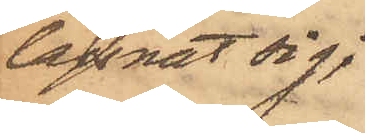lägsnat sig;
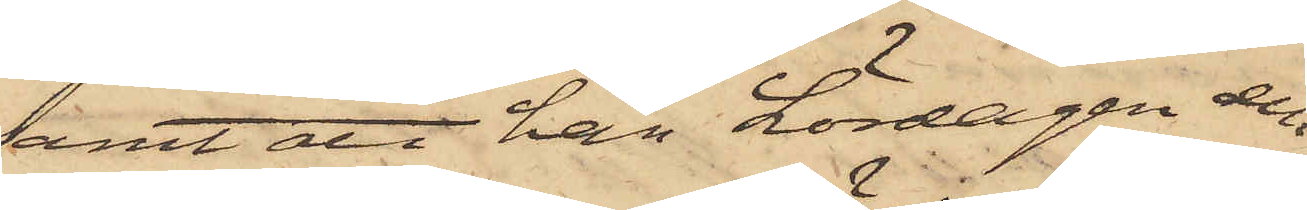samt att han Lördagen den
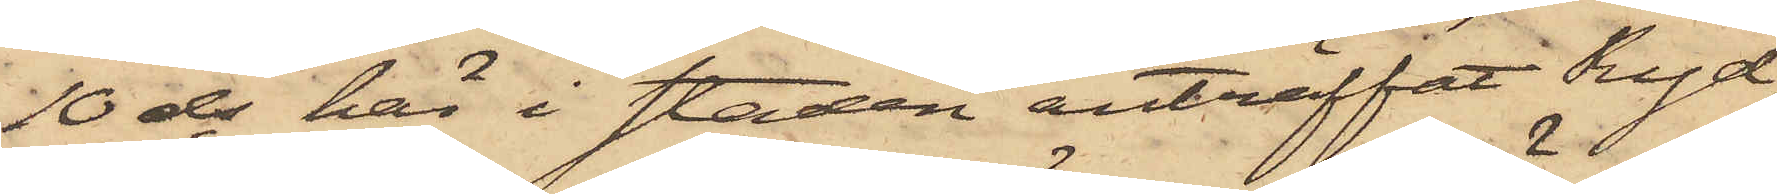10 ds här i staden anträffat Ryd,
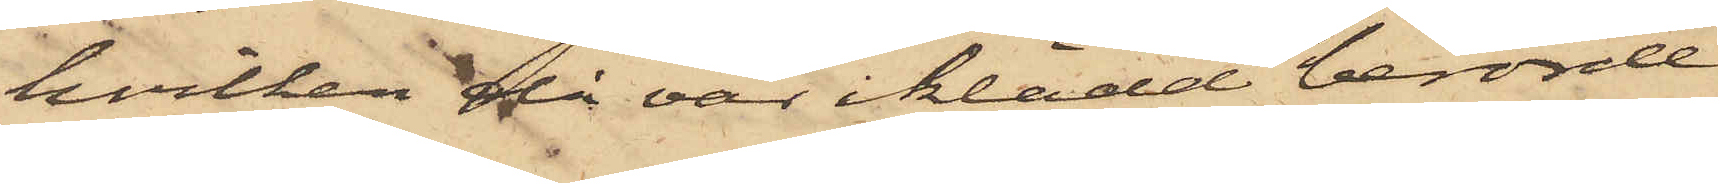hvilken då var iklädd berörde
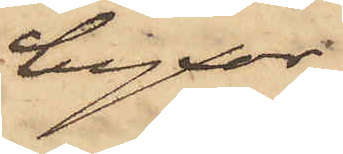byxor.
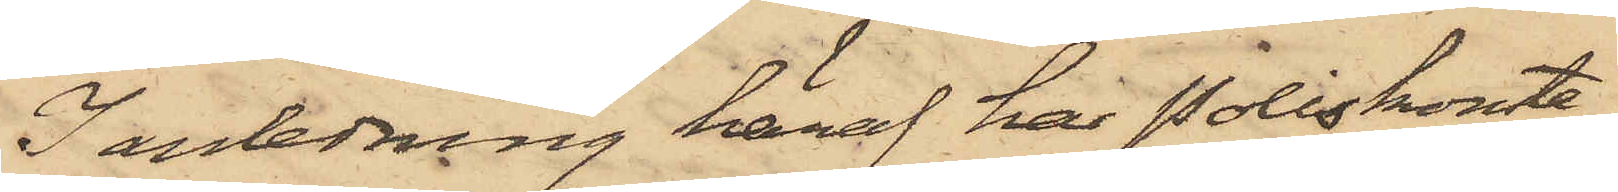I anledning häraf har Poliskonsta¬
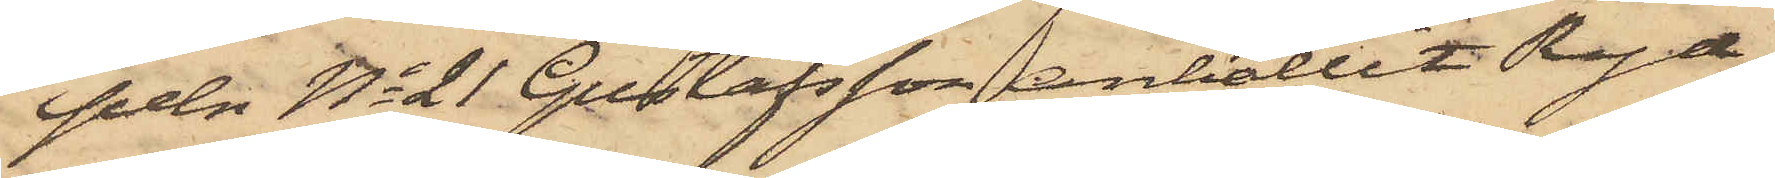peln No 21 Gustafsson anhållit Ryd,
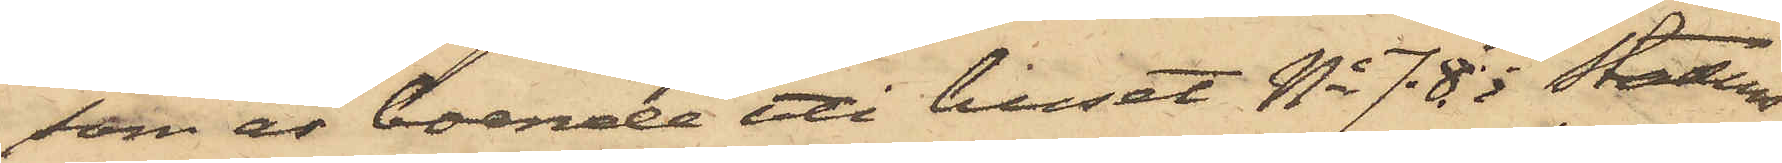som är boende uti huset No 78 i Stadens
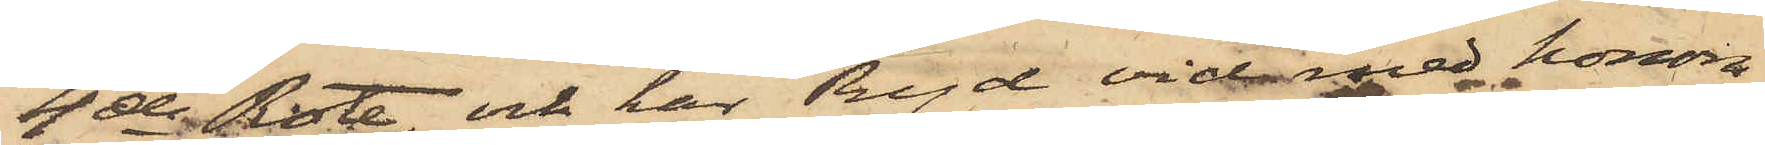4de Rote, och har Ryd vid med honom
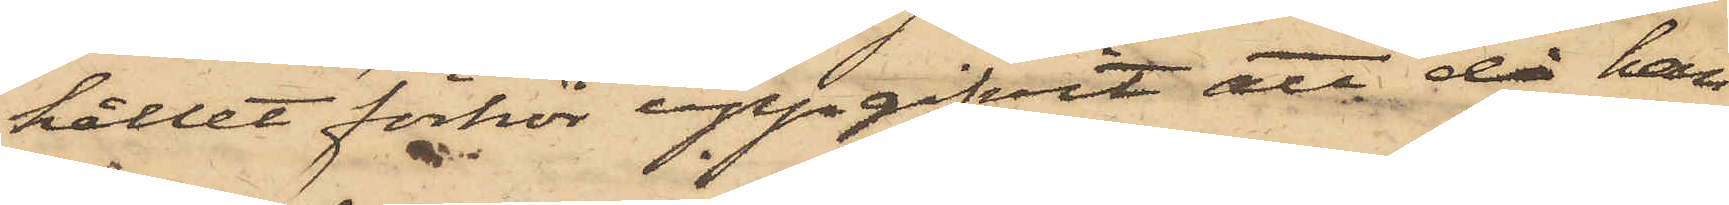hållet förhör uppgifvit, att då han
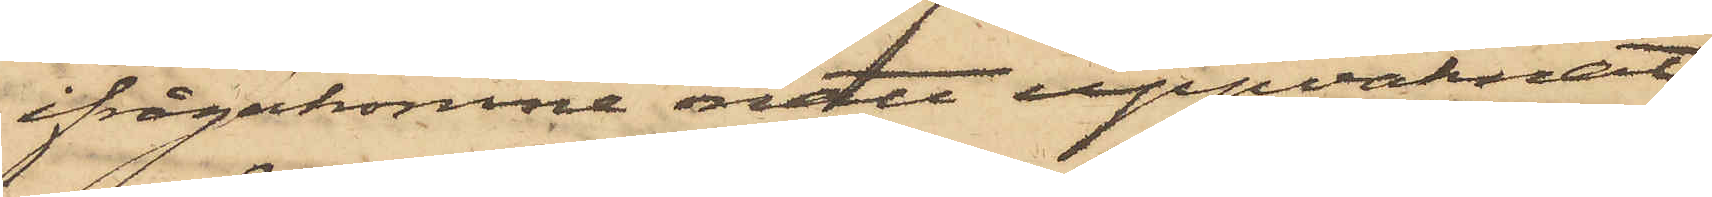ifrågakomne natt uppvaknat
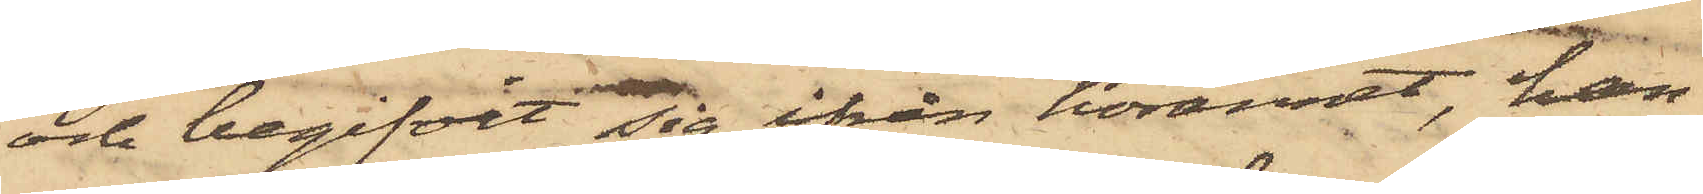och begifvit sig ifrån hörännet, han
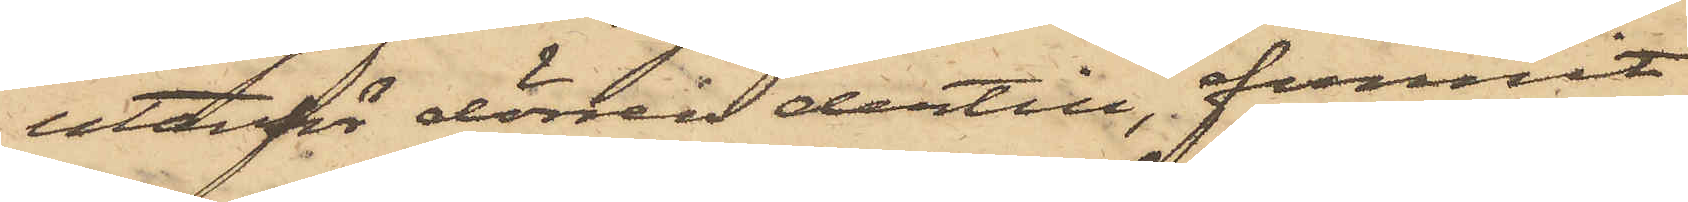utanför dörren dertill, funnit
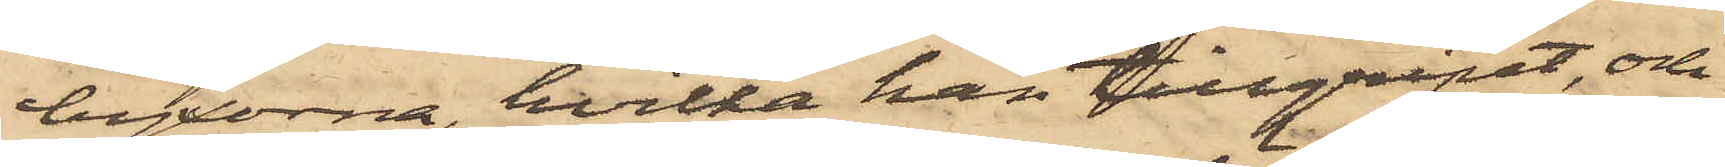byxorna, hvilka han tillgripit, och
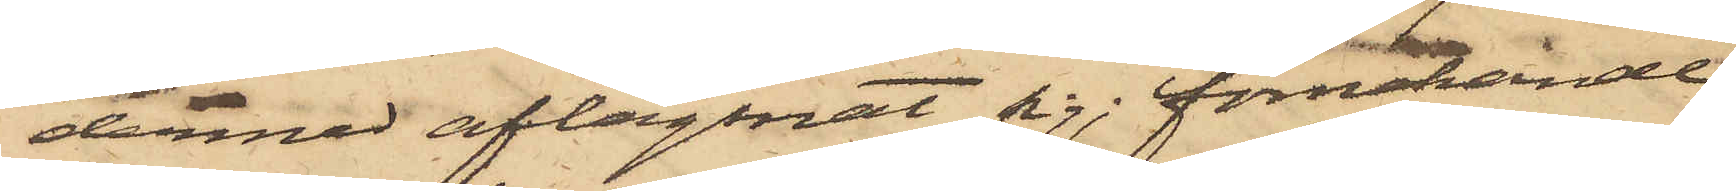dermed aflägsnat sig; förnekande
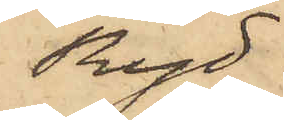Ryd
